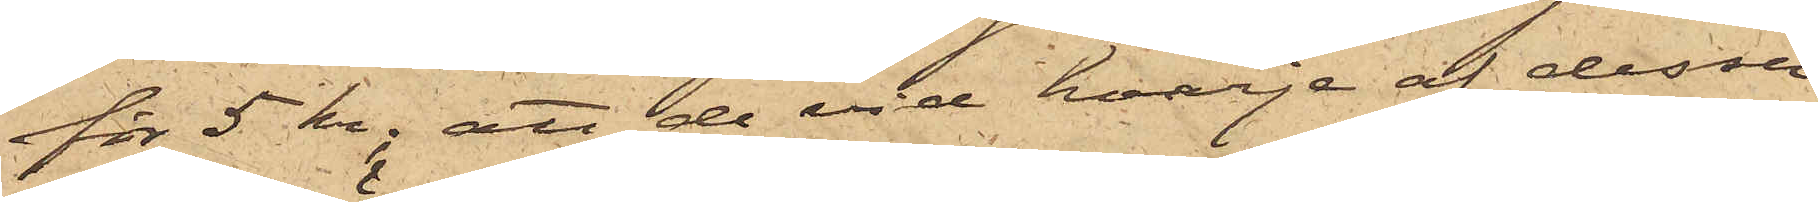för 5 kr; att de vid hvarje af dessa
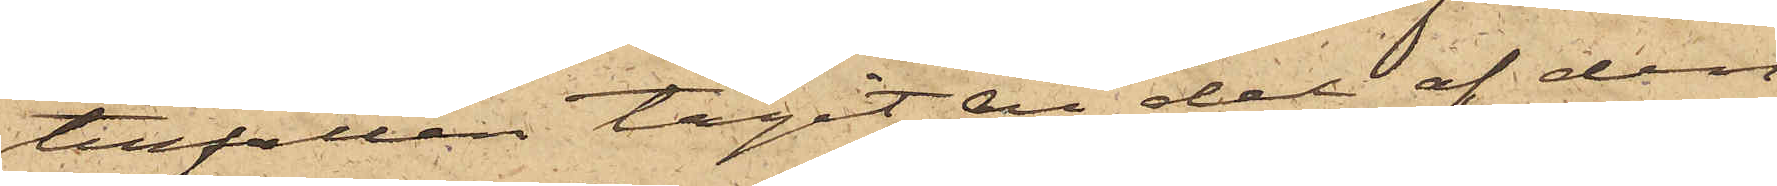tillfällen tagit en del af den
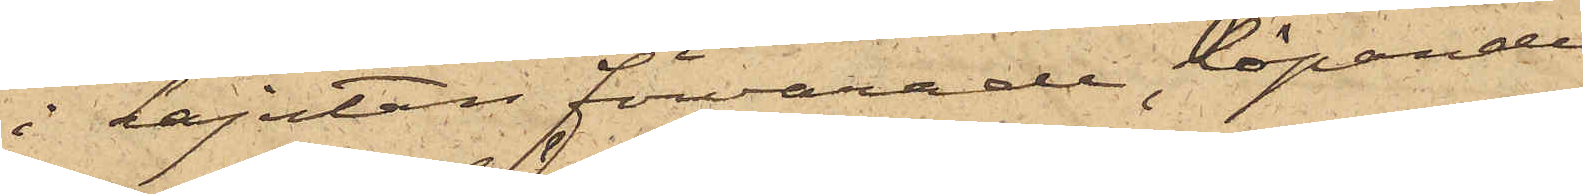i kajutan förvarade löpande
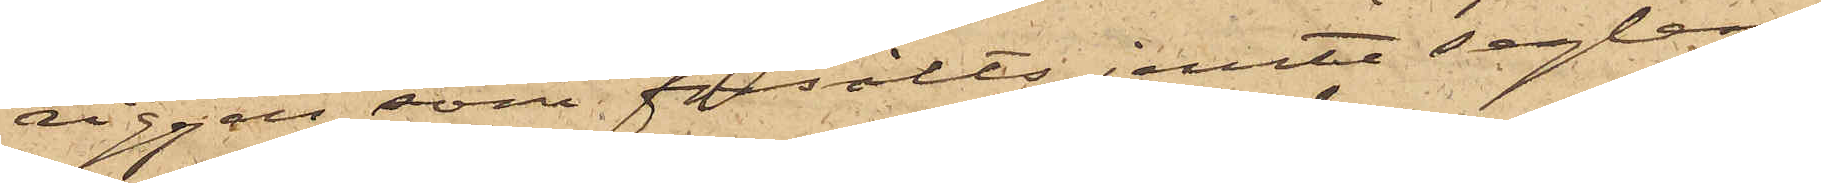riggen, som försålts jemte seglen;
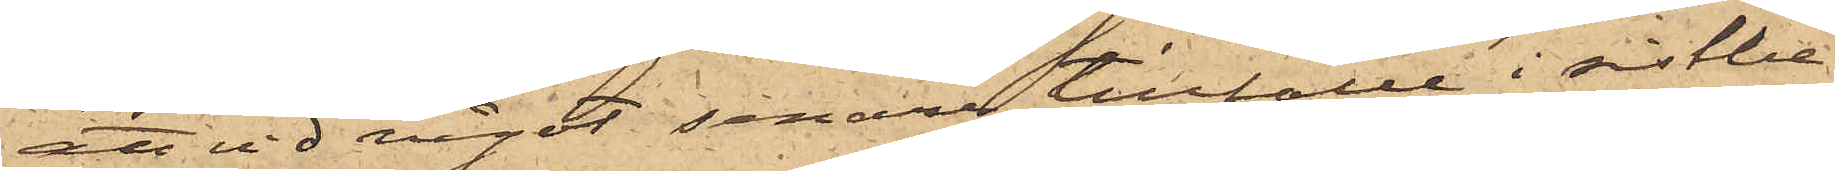att vid något senare tillfälle i sistbe¬
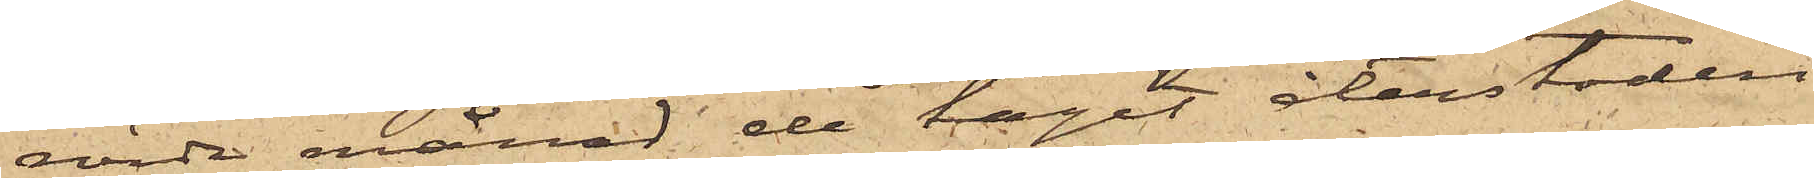rörde månad de tagit återstoden
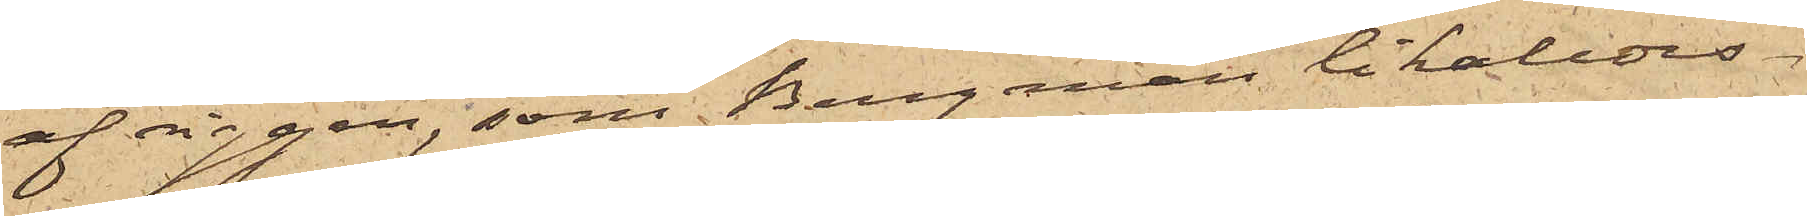af riggen, som Bergman likaledes
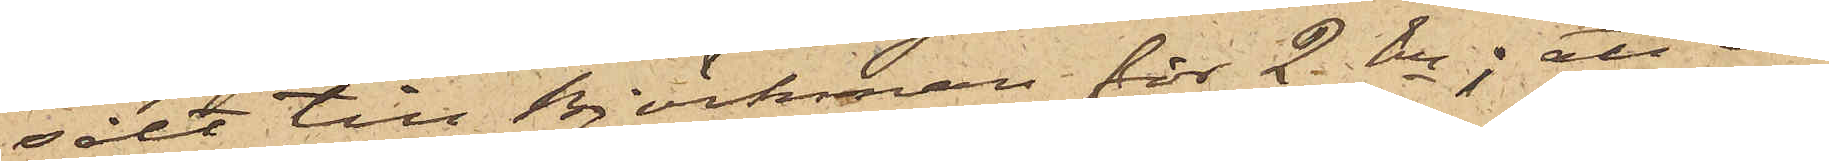sålt till Björkman för 2 kr; att de
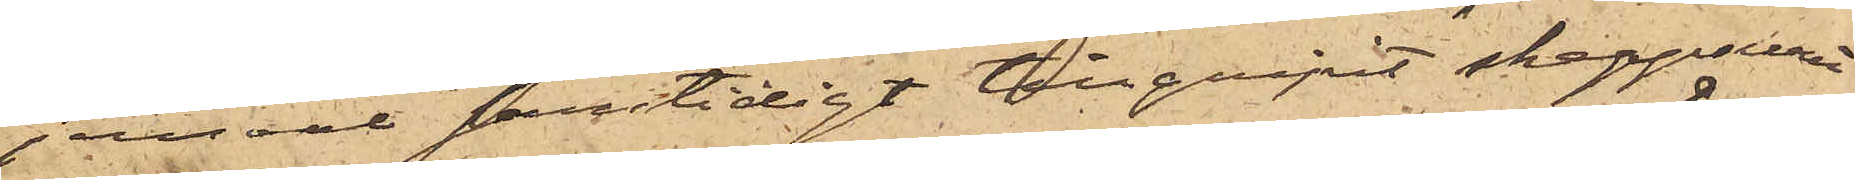jemväl samtidigt tillgripit skeppsuret
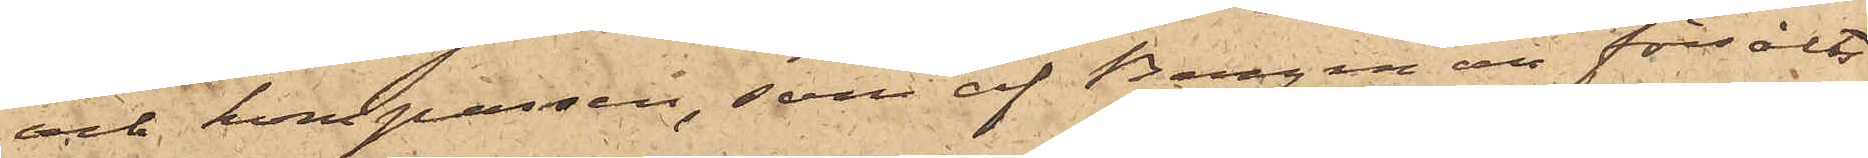och kompassen, som af Bergman försålts
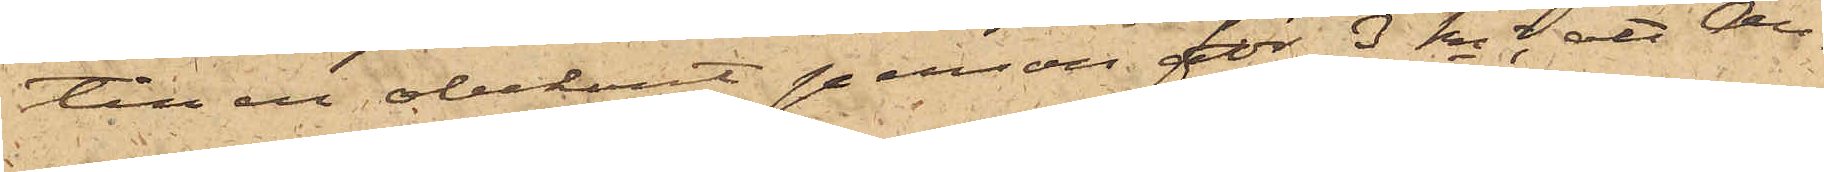till en obekant person för 3 kr; att An¬
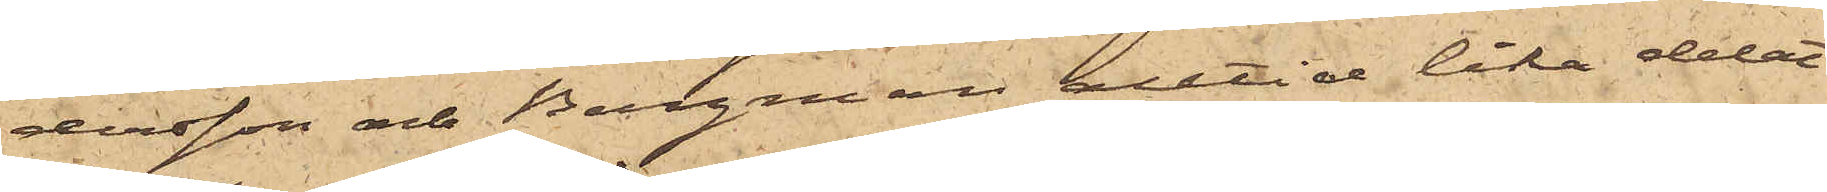dersson och Bergman alltid lika delat
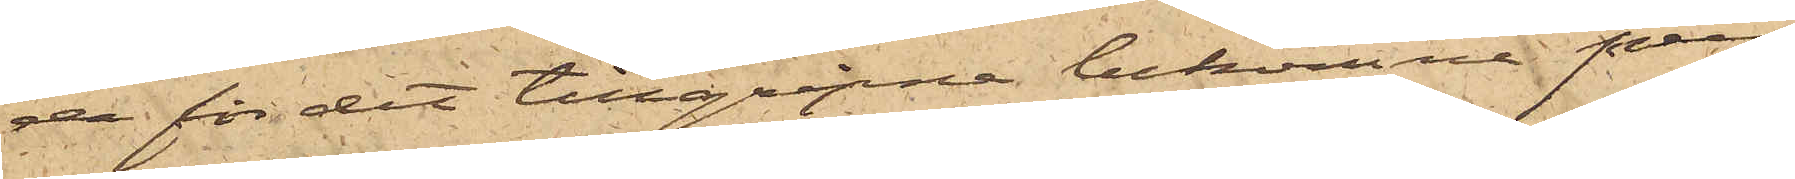de för det tillgripne bekomne pen¬
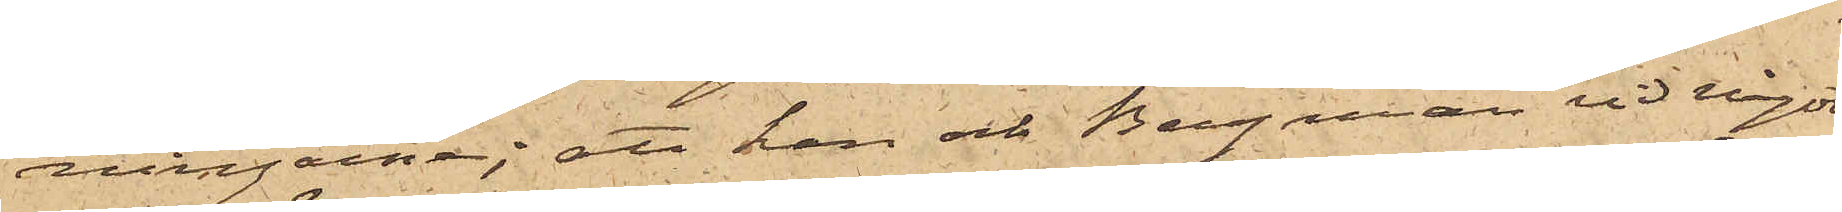ningarne; att han och Bergman vid något
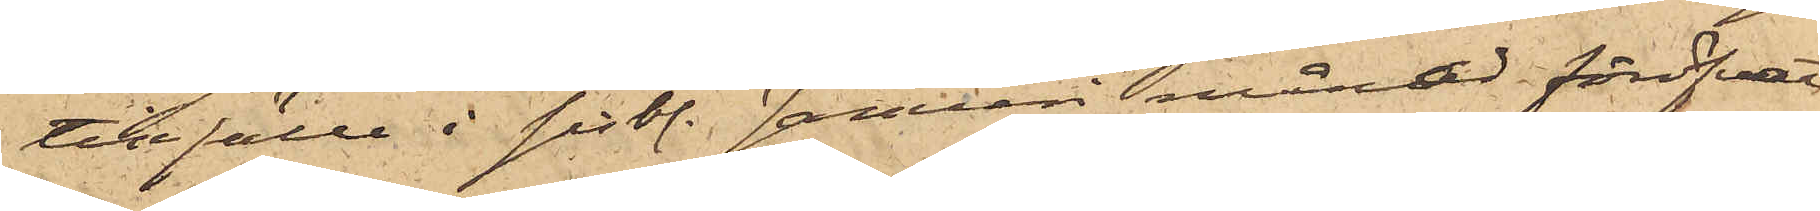tillfälle i sistl. Januari månad föröfvat
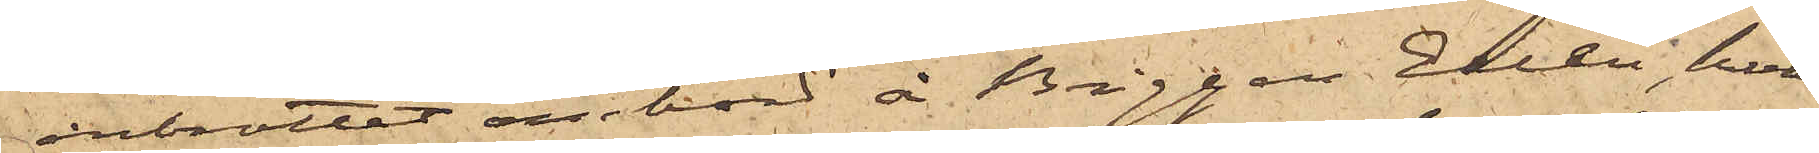inbrottet ombord å Briggen Ellen, hvar¬
